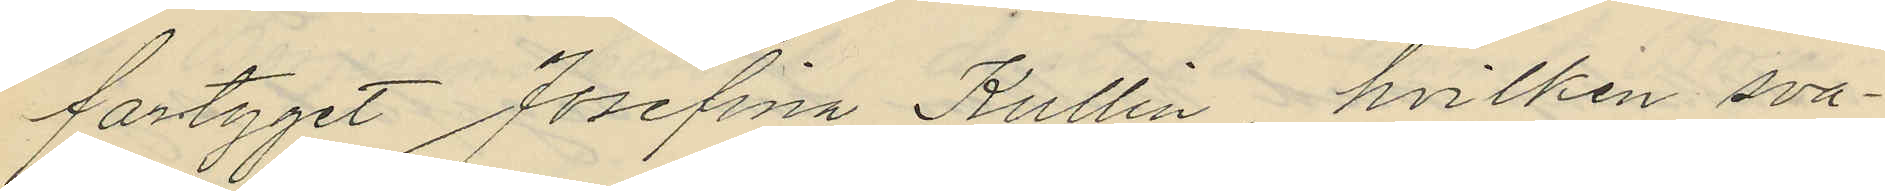fartyget Josefina Kullin, hvilken sva¬
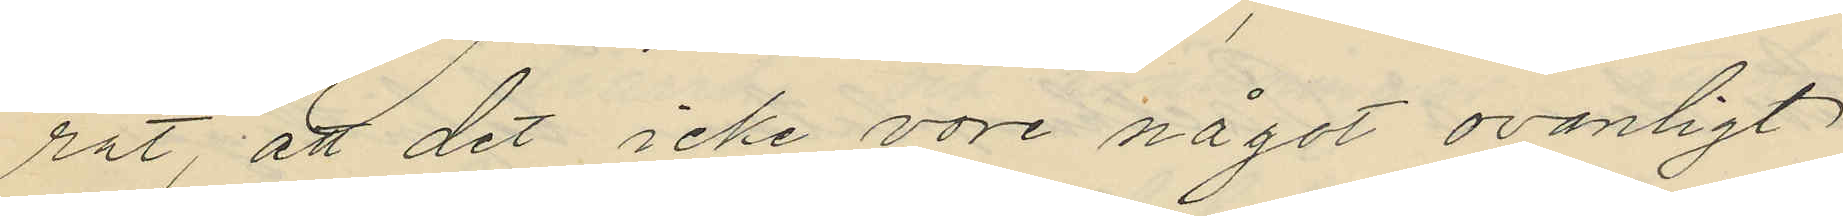rat, att det icke vore något ovanligt
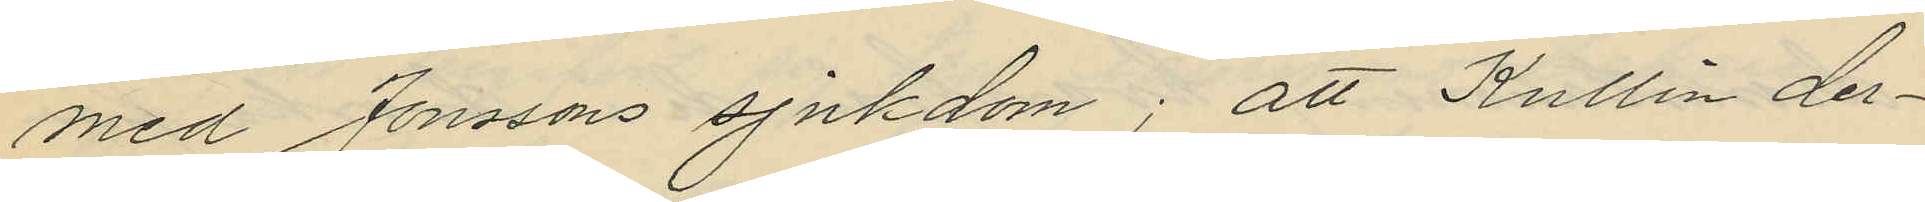med Jonssons sjukdom; att Kullin der¬
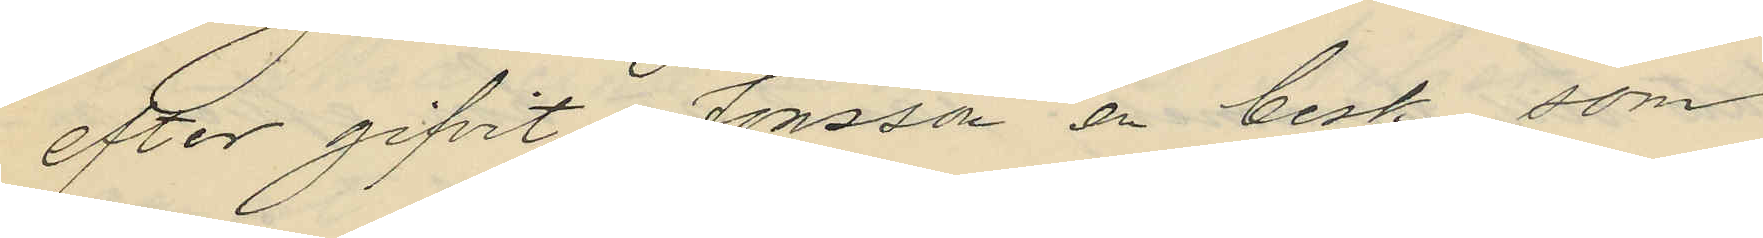efter gifvit Jonsson en besk som
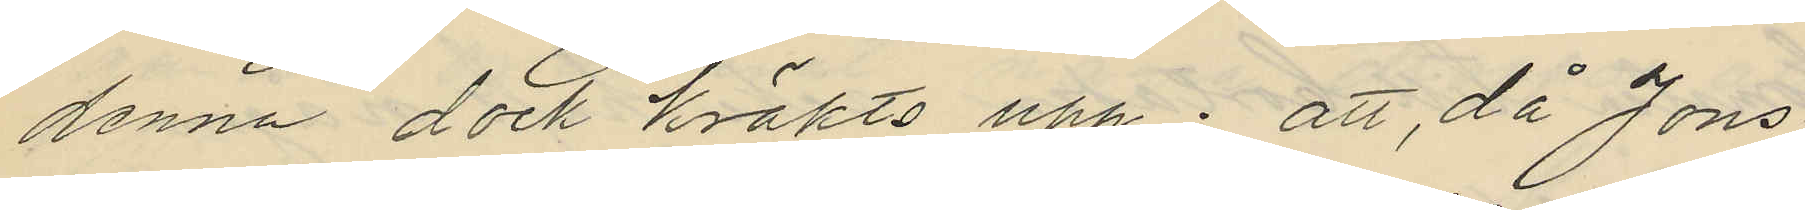denna dock kräkts upp; att, då Jons
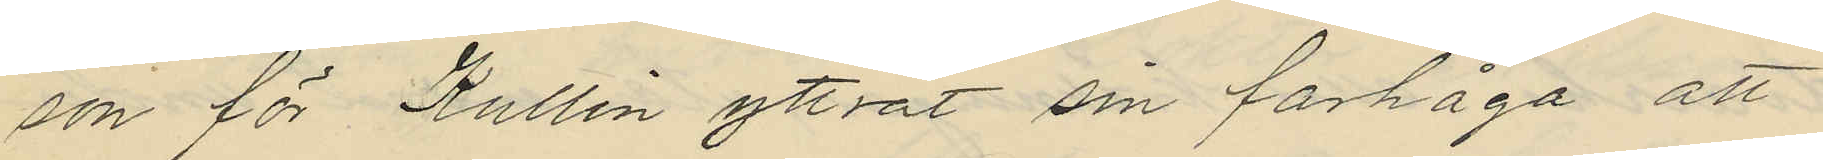son för Kullin yttrat sin farhåga att
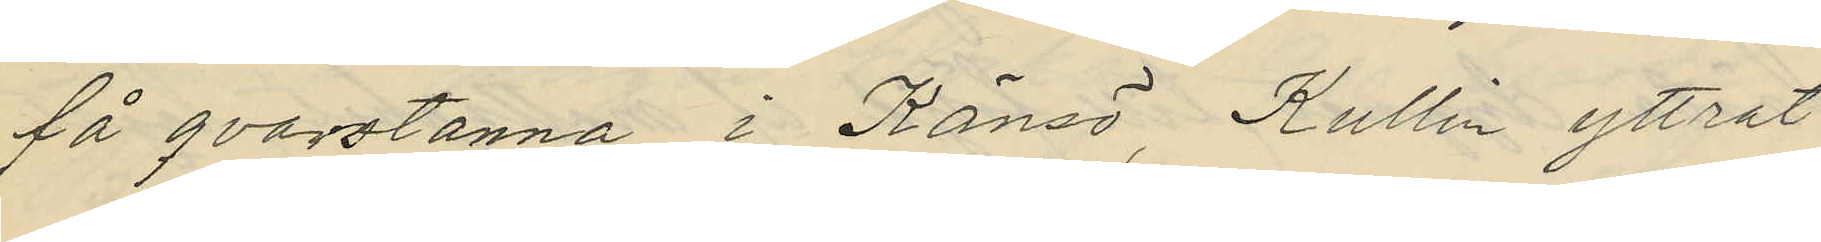få qvarstanna i Känsö, Kullin yttrat
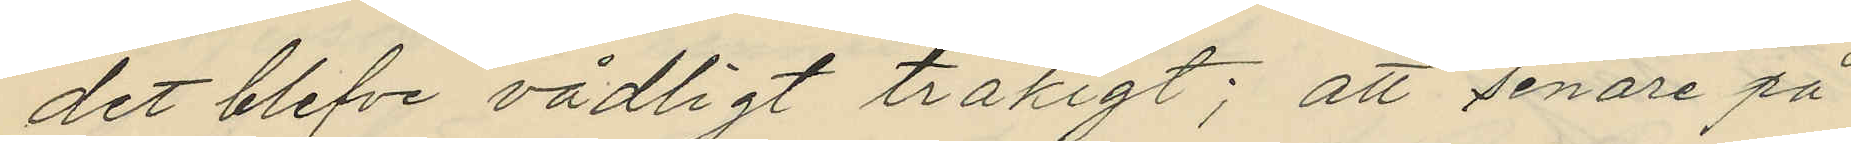det blefve vådligt tråkigt; att senare på
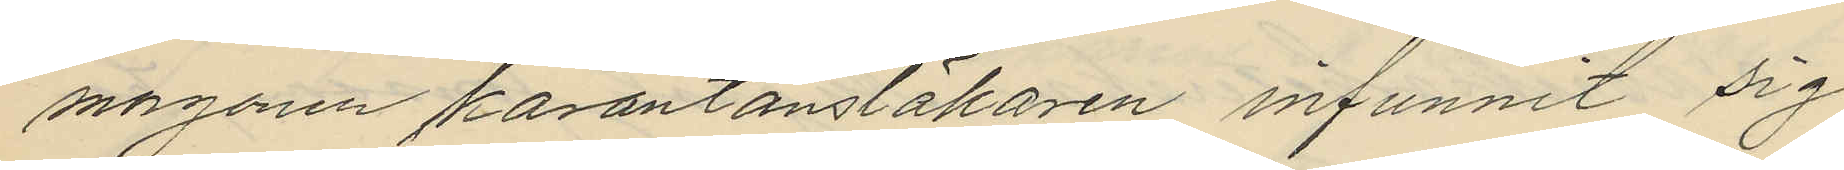morgonen karantänsläkaren infunnit sig
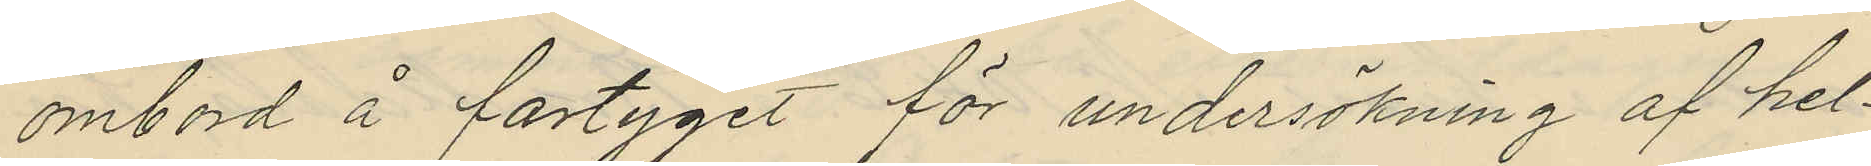ombord å fartyget för undersökning af hel¬
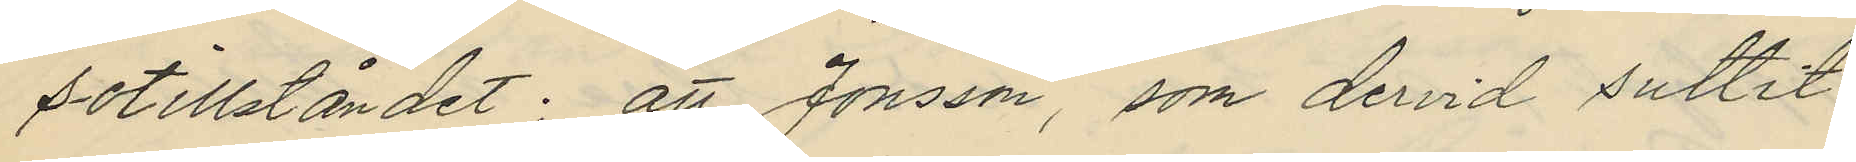sotillståndet; att Jonsson, som dervid suttit
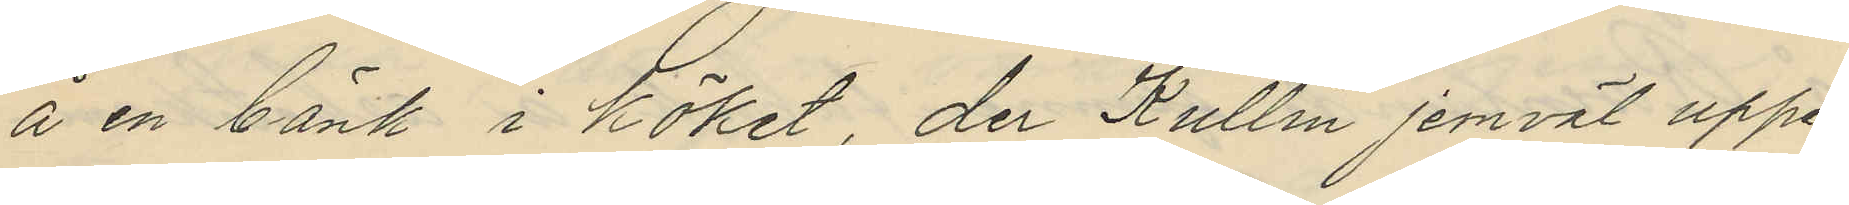å en bänk i köket, der Kullin jemväl uppe¬
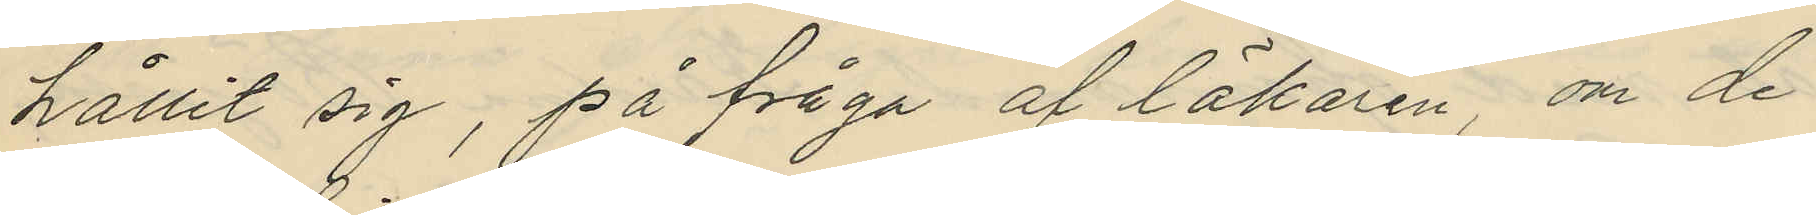hållit sig, på fråga af läkaren om de
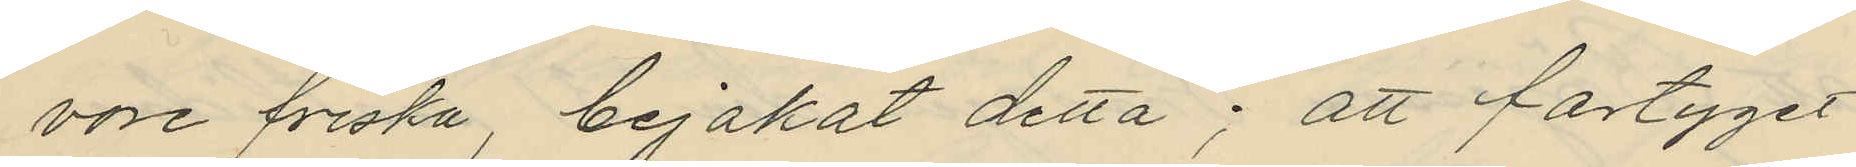vore friska, bejakat detta; att fartyget
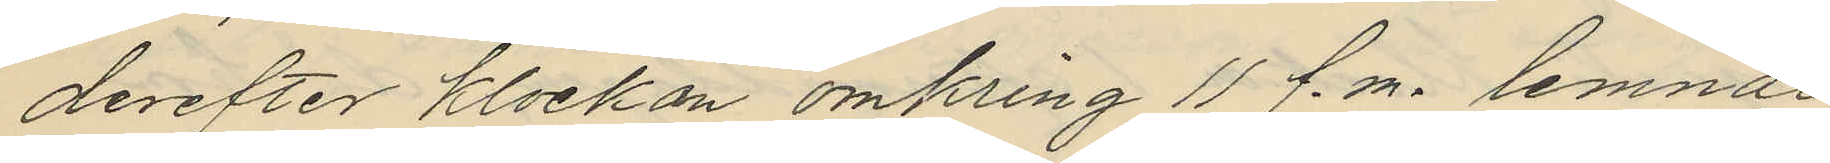derefter klockan omkring 11 f.m. lemnat
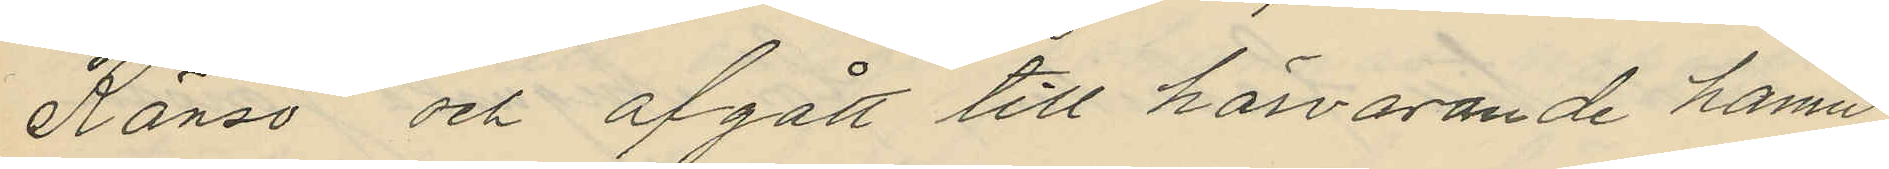Känsö och afgått till härvarande hamn
